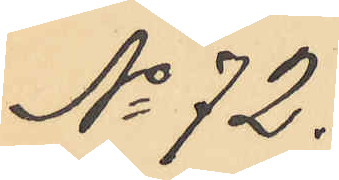No 72.
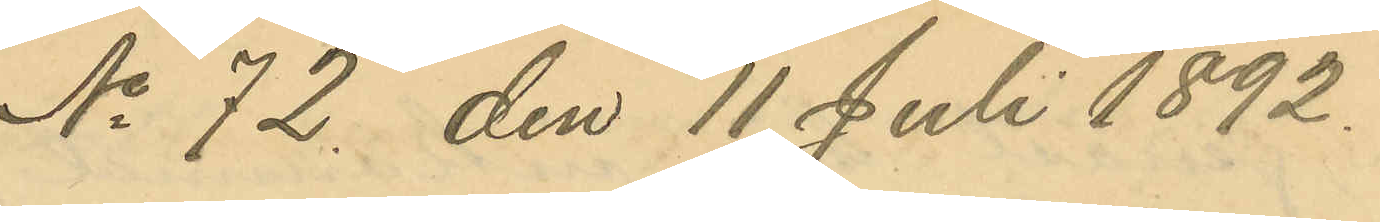No 72. den 11 Juli 1892.
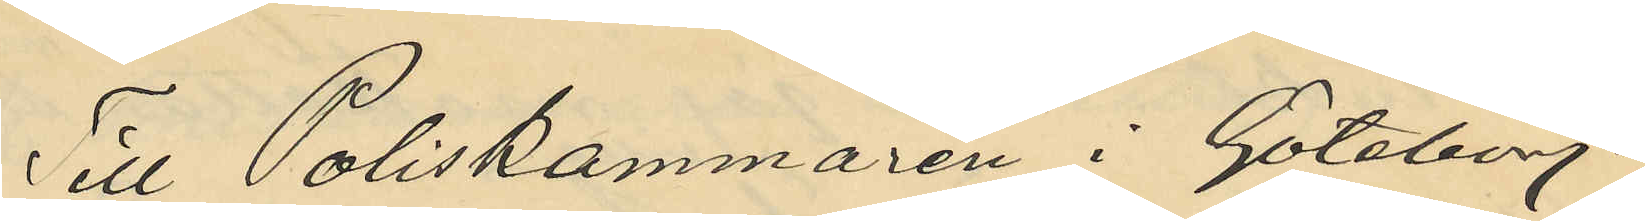Till Poliskammaren i Göteborg.
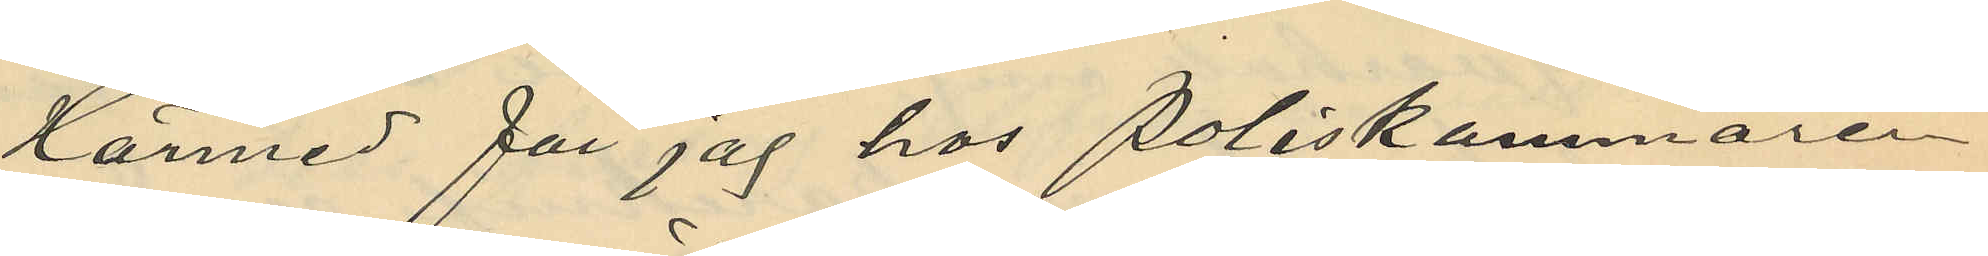Härmed får jag hos Poliskammaren
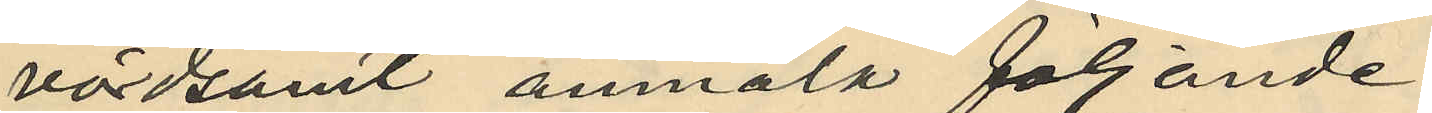vördsamt anmäla följande:
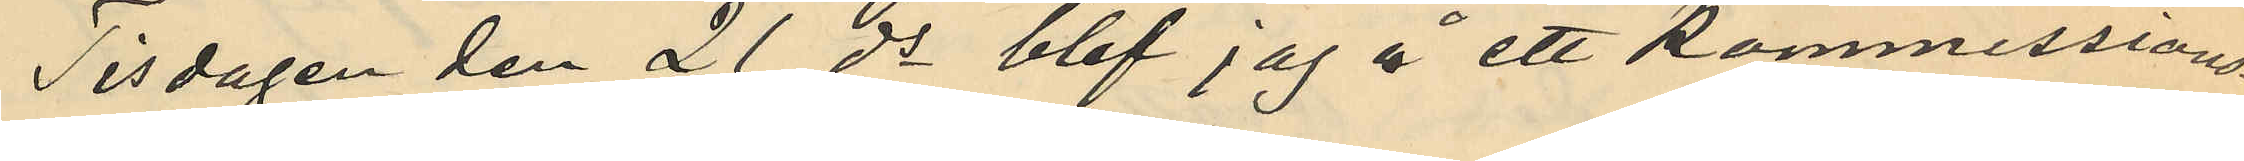Tisdagen den 21 ds blef jag å ett kommissions¬
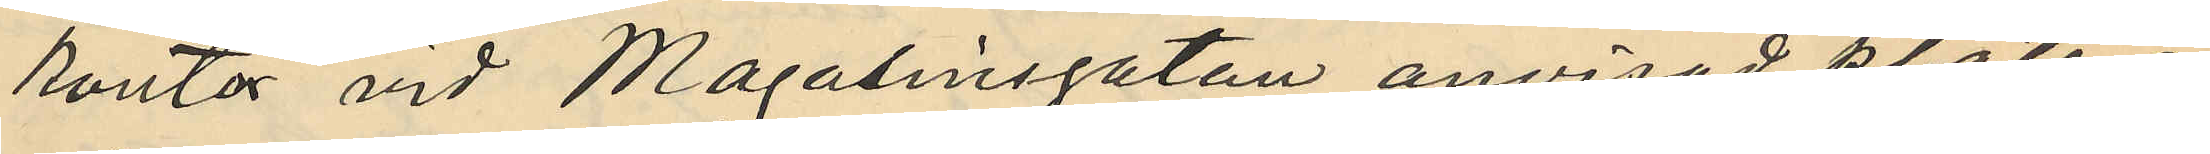kontor vid Magasinsgatan anvisad plats i
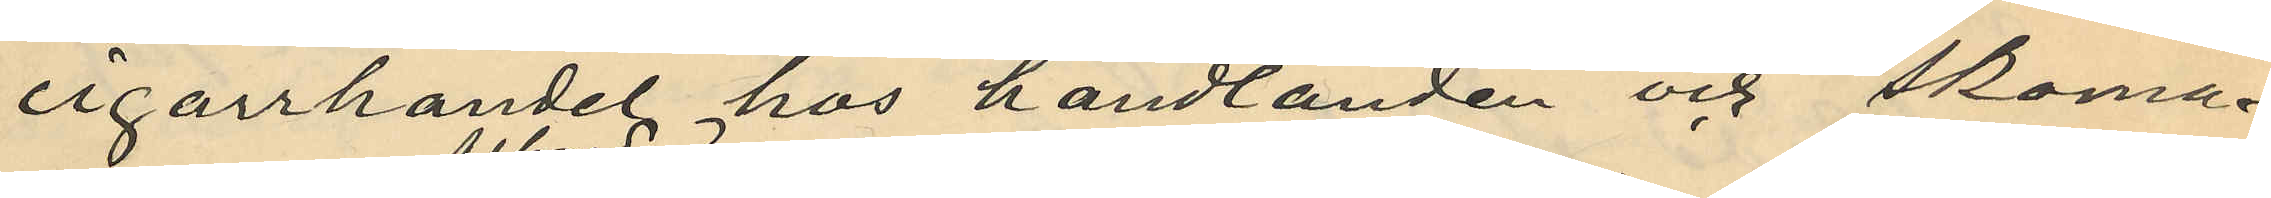cigarrhandel hos handlanden och skoma¬
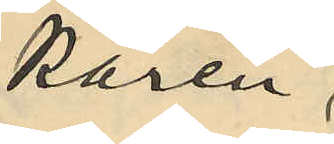karen;
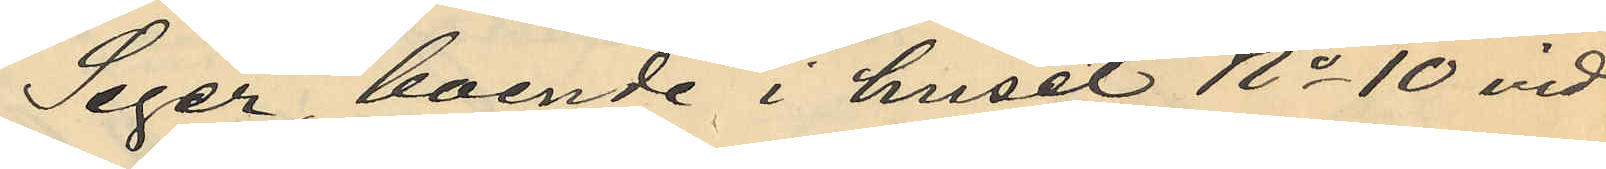Seger, boende i huset No 10 vid
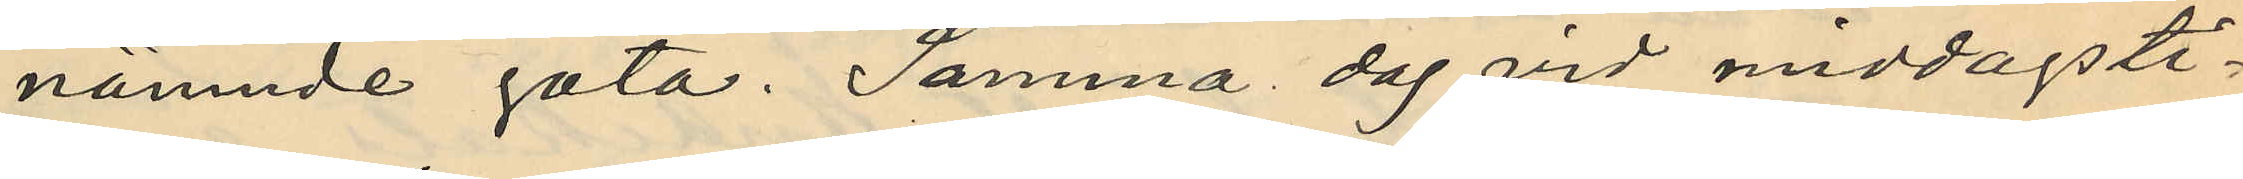nämnde gata. Samma dag vid middagsti¬
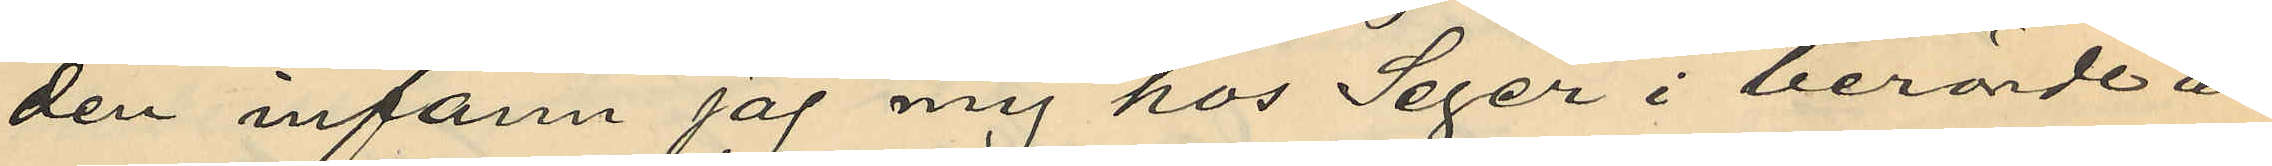den infann jag mej hos Seger i berörde ä¬
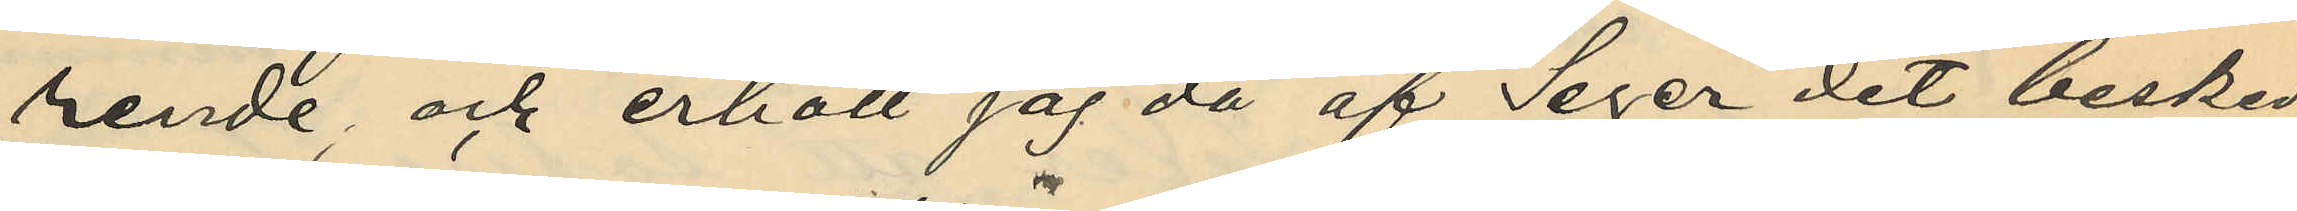rende; och erhöll jag då af Seger det besked
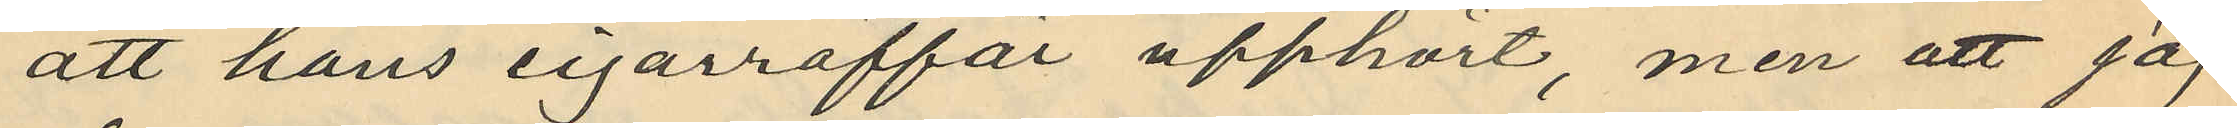att hans cigarraraffär upphört, men att jag
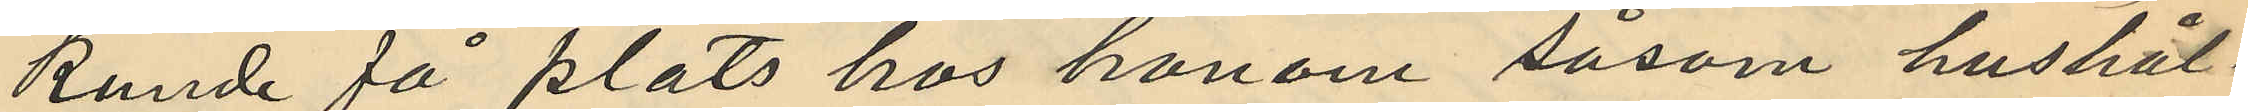kunde få plats hos honom såsom hushål¬
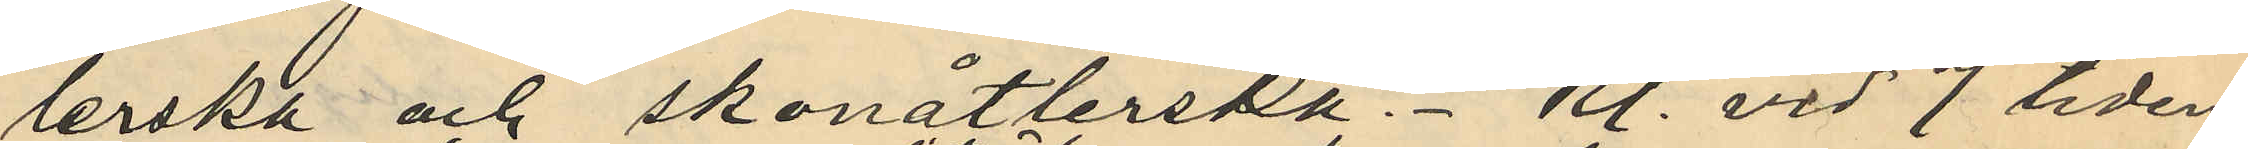lerska och skonåtlerska. - Kl. vid 7 tiden
